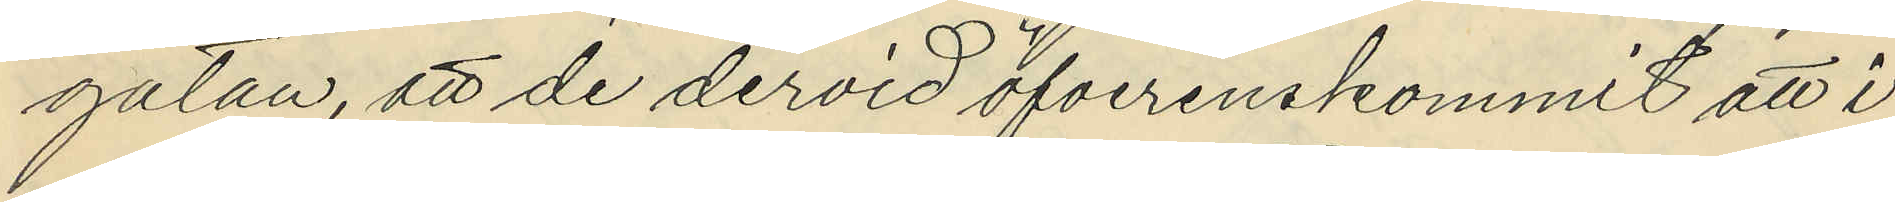gatan, att de dervid öfverenskommit att i
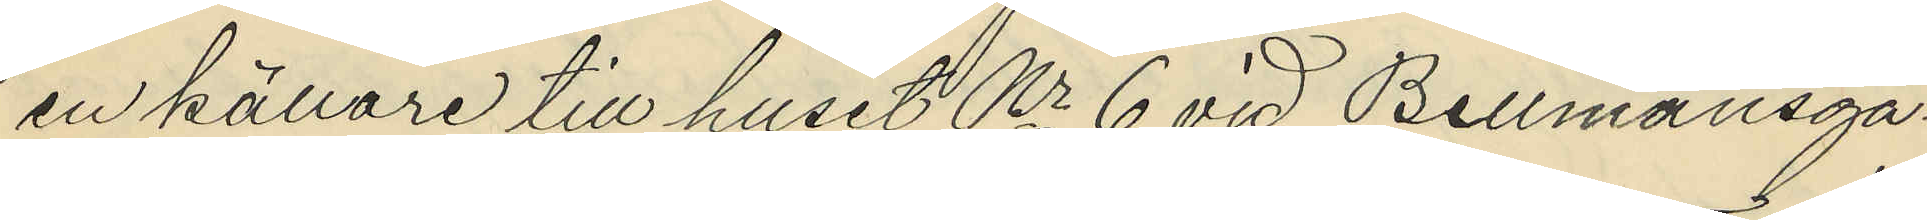en källare till huset Nr 6 vid Bellmansga¬
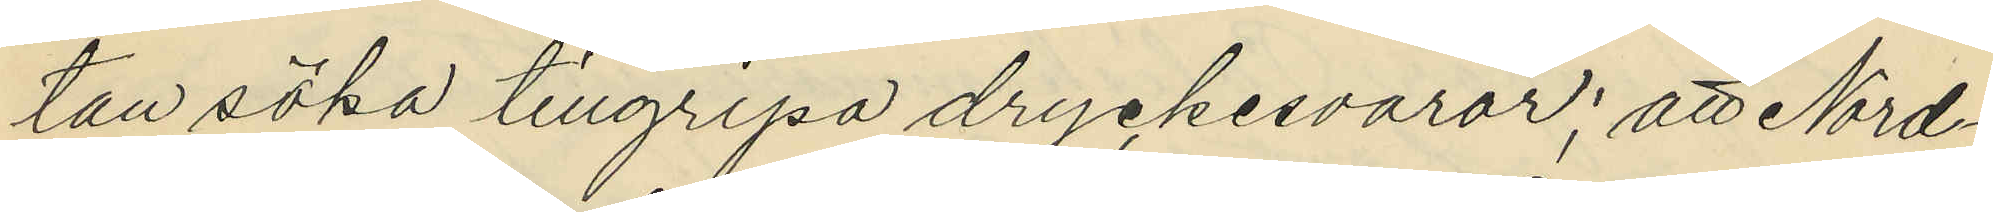tan söka tillgripa dryckesvaror; att Nord¬
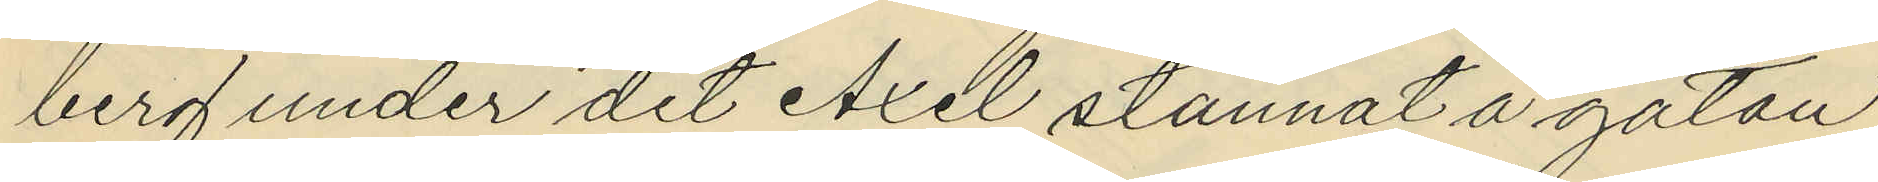berg under det Axel stannat å gatan
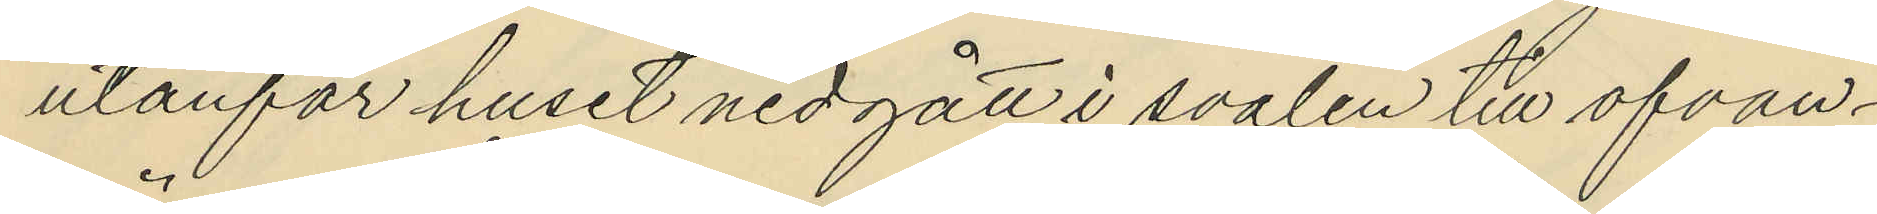utanför huset nedgått i svalen till ofvan¬
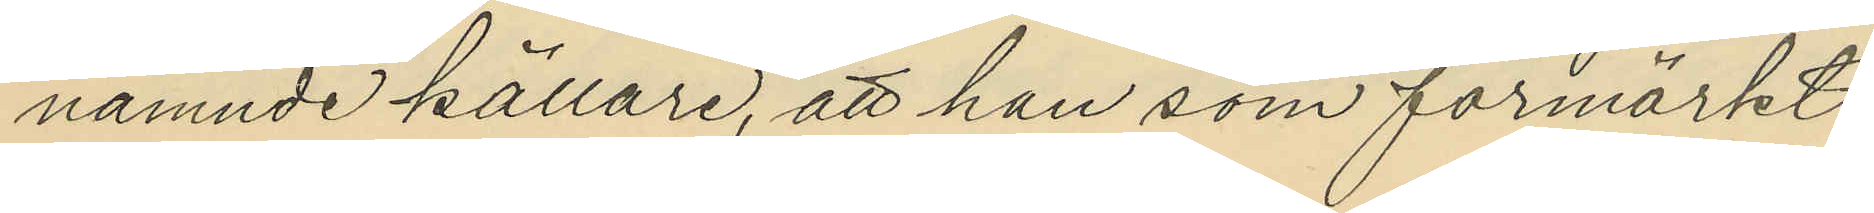nämnde källare, att han som förmärkt
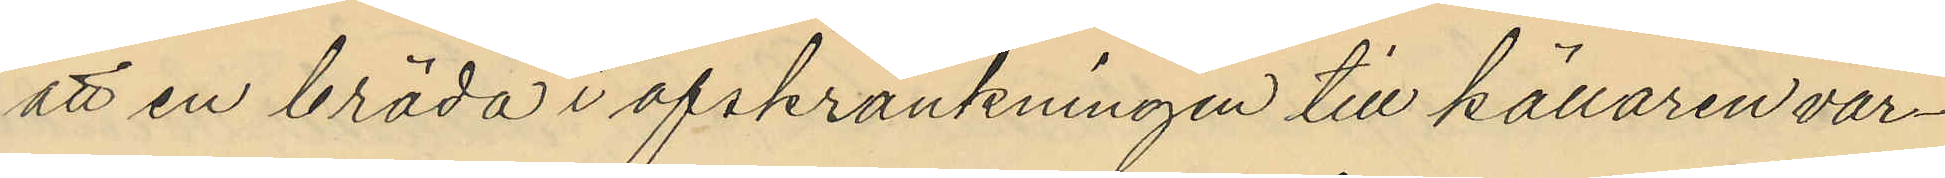att en bräda i afskrankningen till källaren var¬
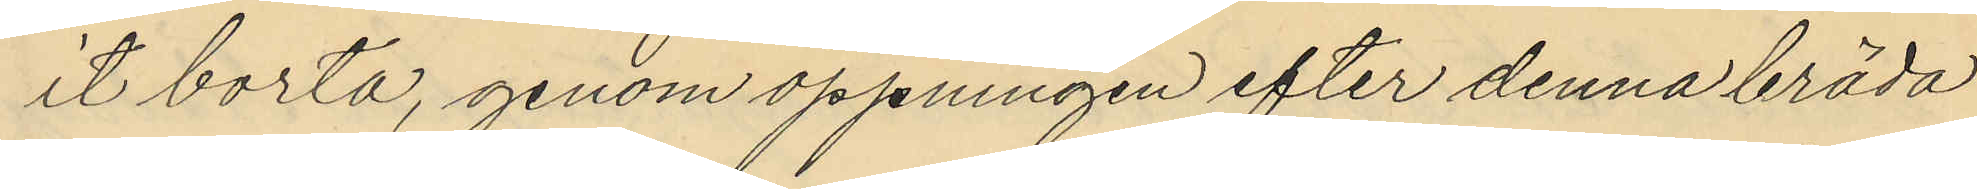it borta, genom öppningen efter denna bräda
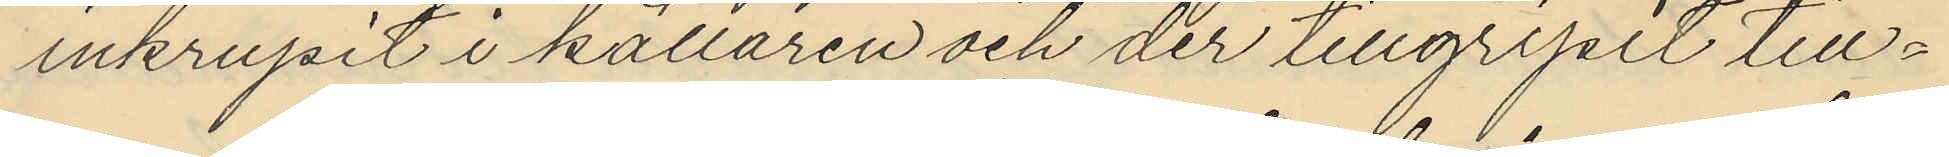inkrupit i källaren och der tillgripit till¬
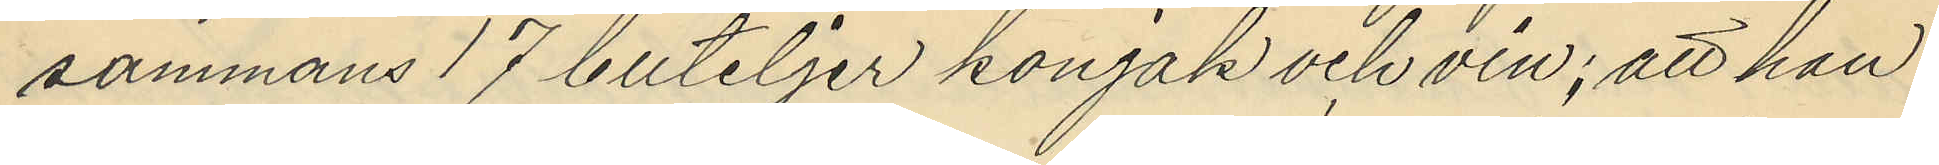sammans 17 buteljer konjak och vin; att han
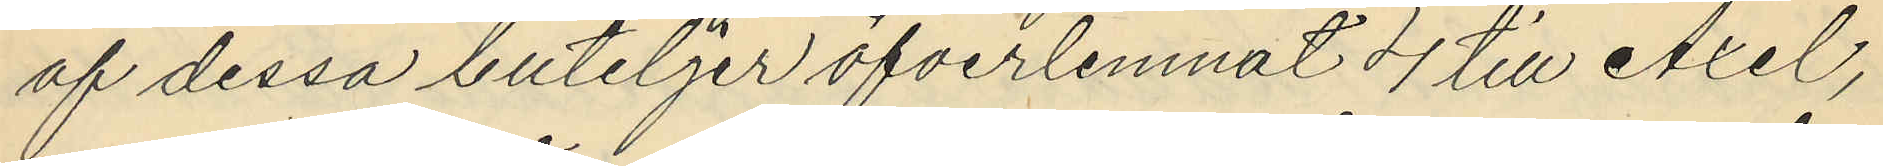af dessa buteljer öfverlemnat 4 till Axel,
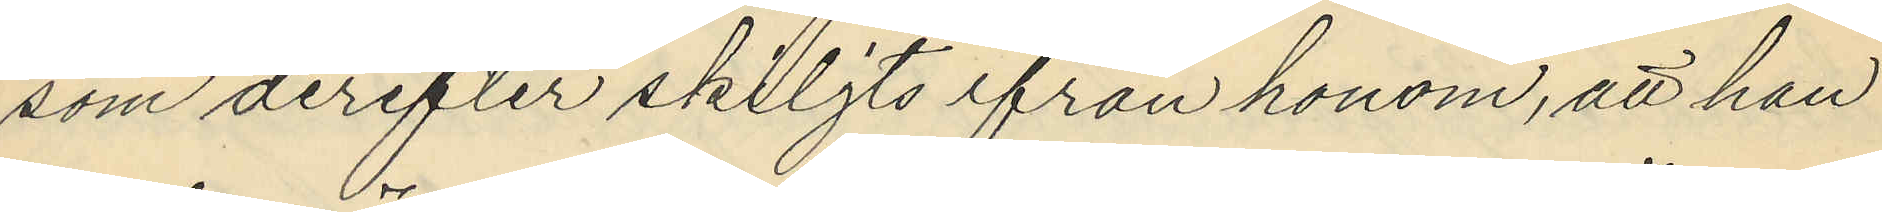som derefter skiljts ifrån honom, att han
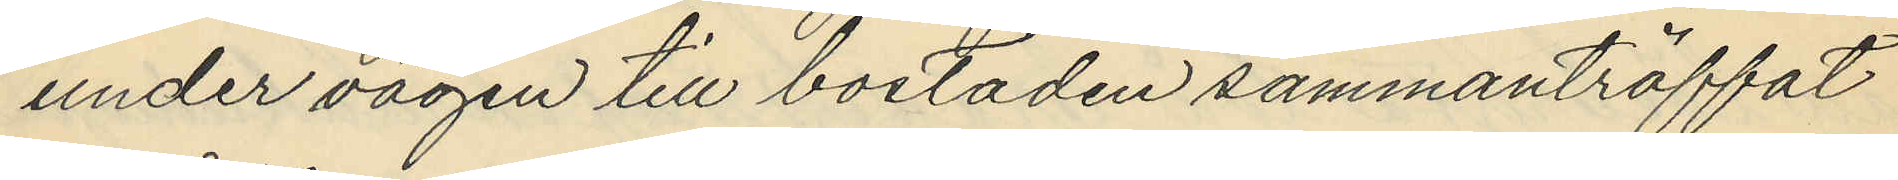under vägen till bostaden sammanträffat
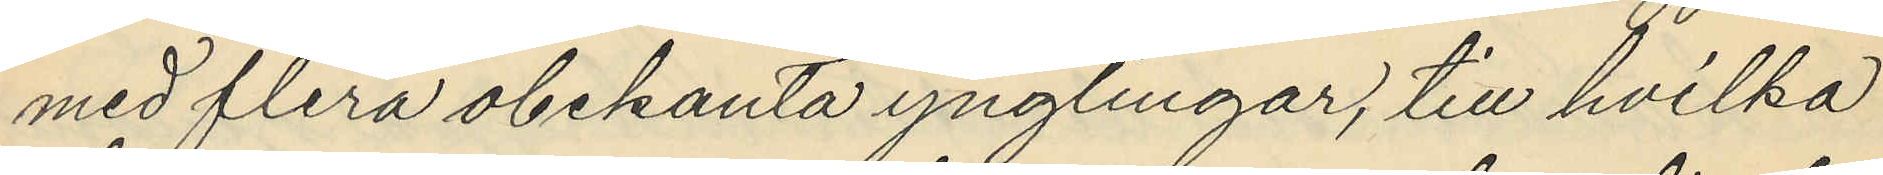med flera obekanta ynglingar, till hvilka
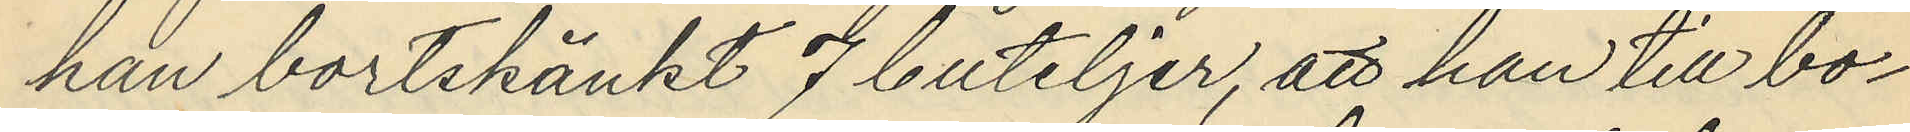han bortskänkt 7 buteljer, att han till bo¬
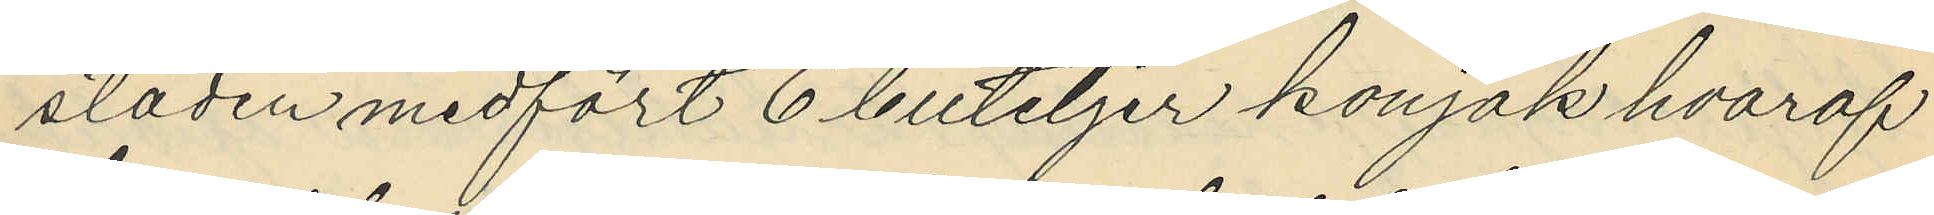staden medfört 6 buteljer konjak hvaraf
